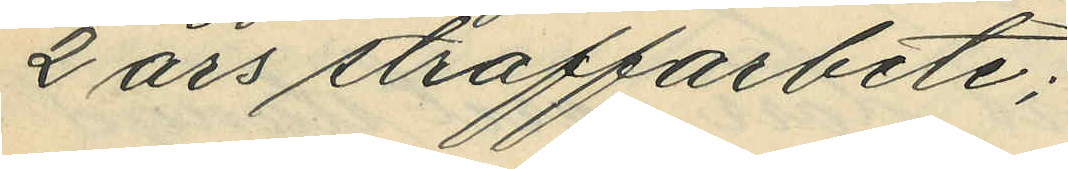2 års straffarbete;
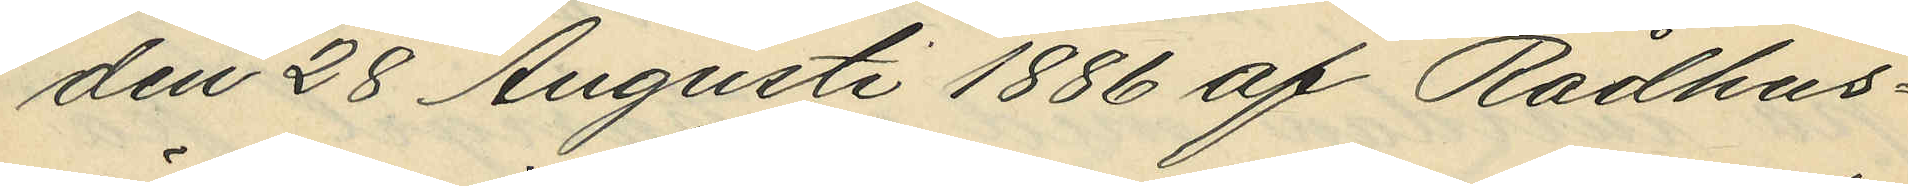den 28 Augusti 1886 af Rådhus¬
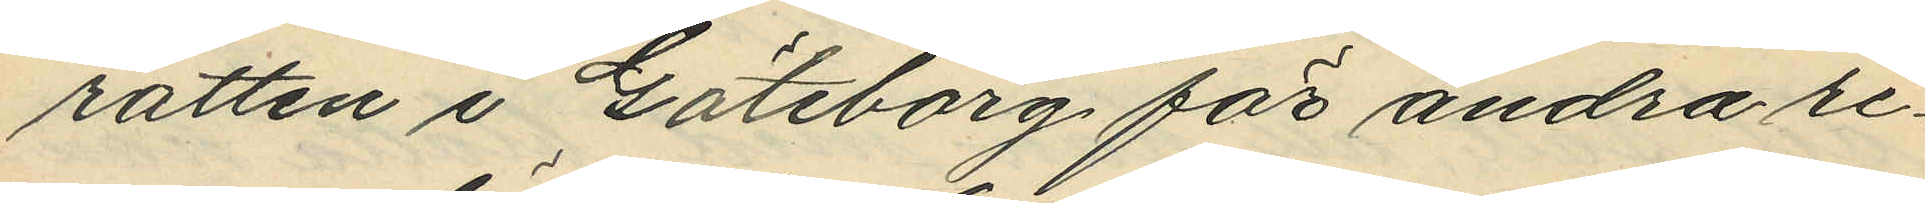rätten i Göteborg för andra re¬
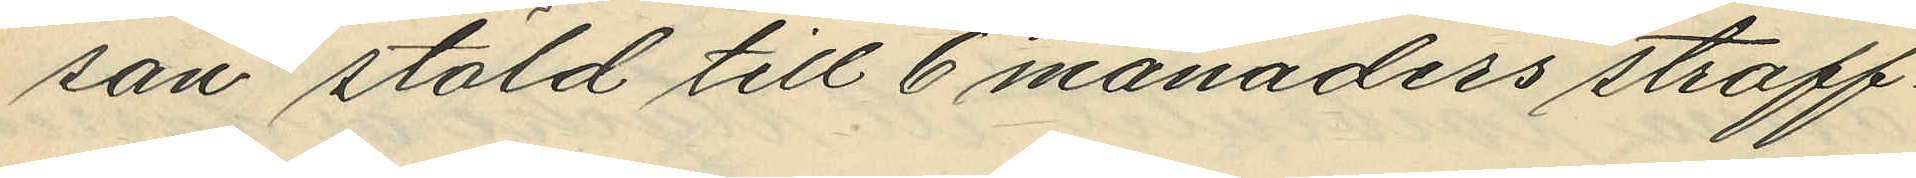san stöld till 6 månaders straff¬
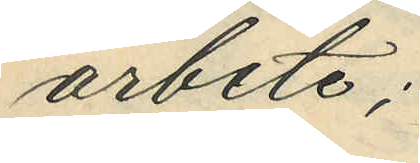arbete;
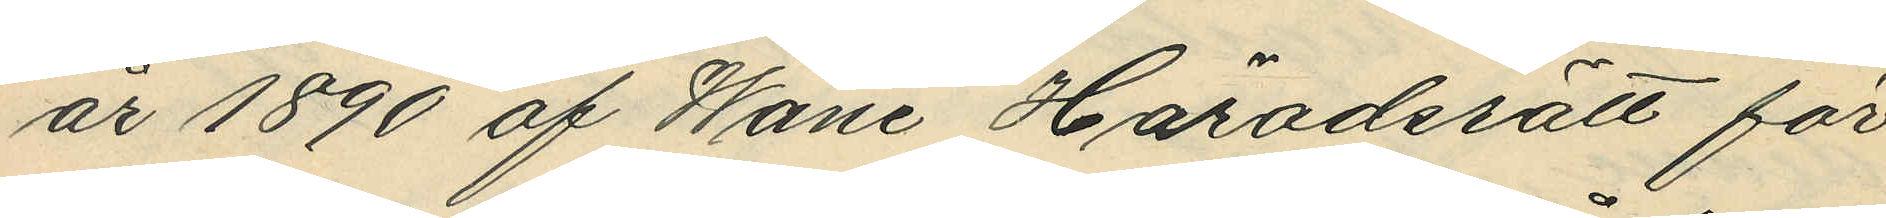år 1890 af Wäne Häradsrätt för
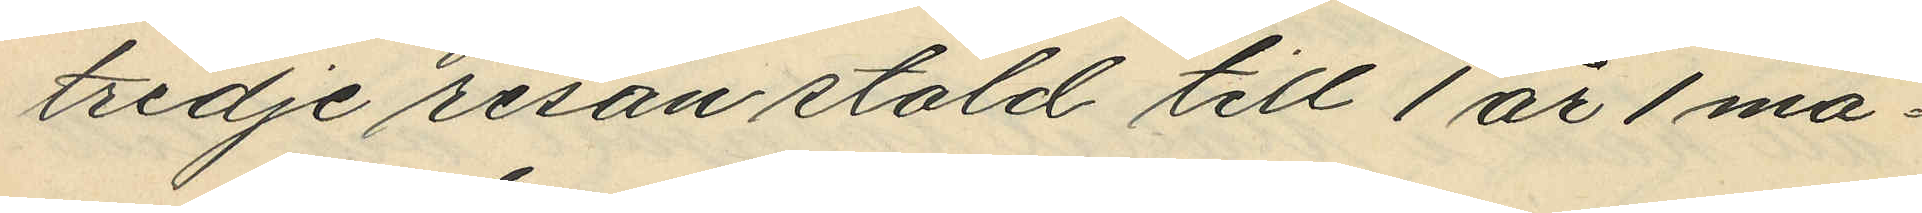tredje resan stöld till 1 år 1 må¬
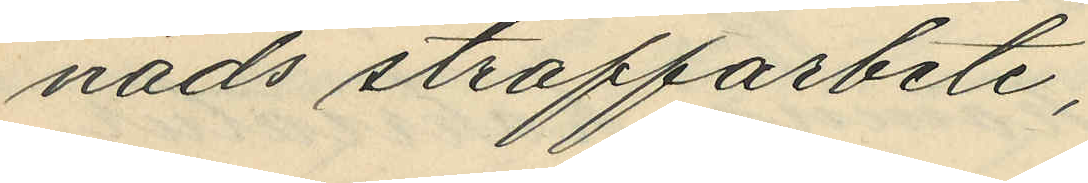nads straffarbete,
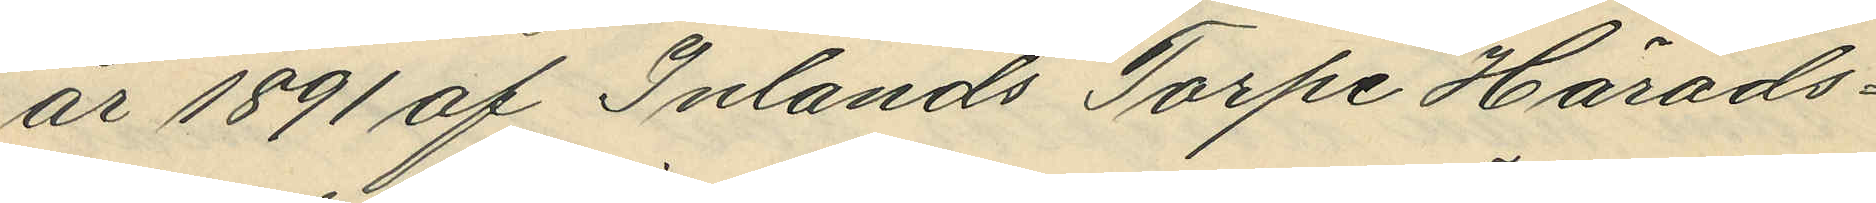år 1891 af Inlands Torpe Härads¬
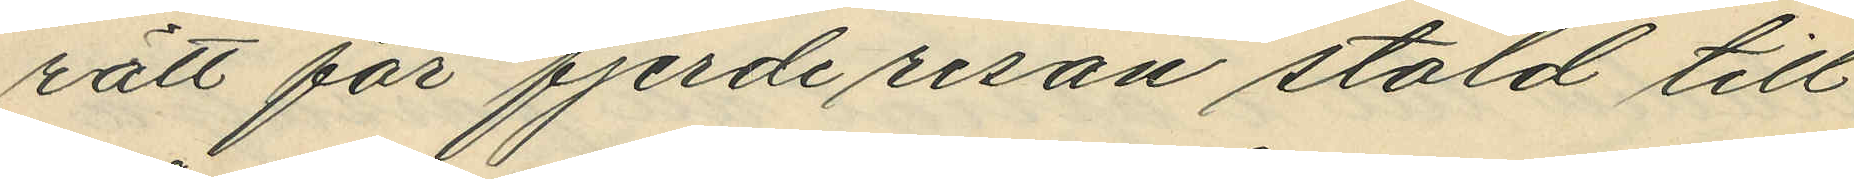rätt för fjerde resan stöld till
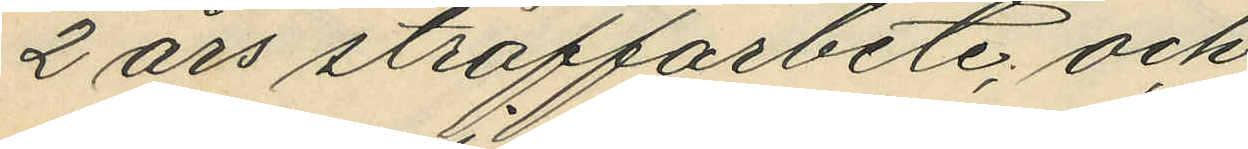2 års straffarbete, och
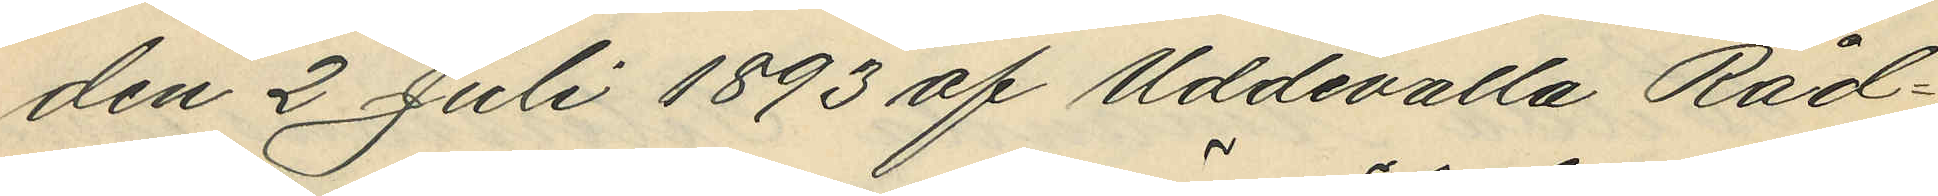den 2 Juli 1893 af Uddevalla Råd¬
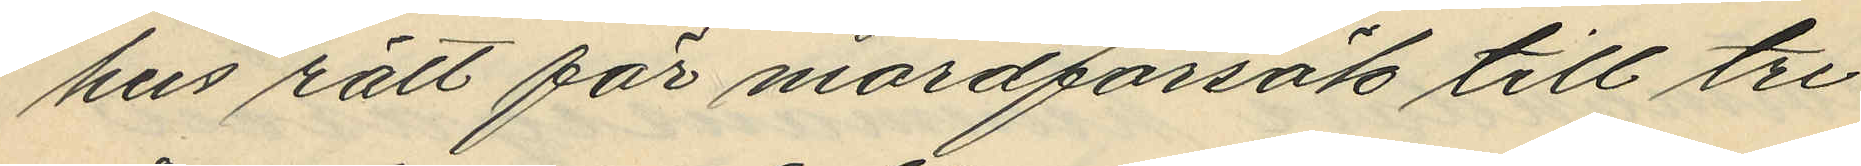hus rätt för mordförsök till tre
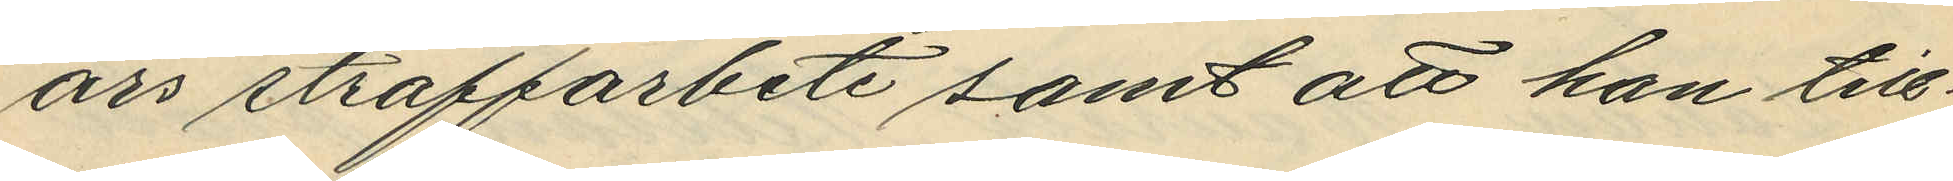års straffarbete samt att han till¬
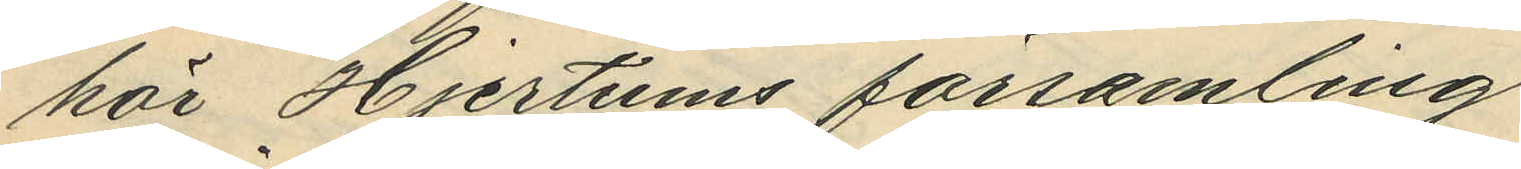hör Hjertums församling.
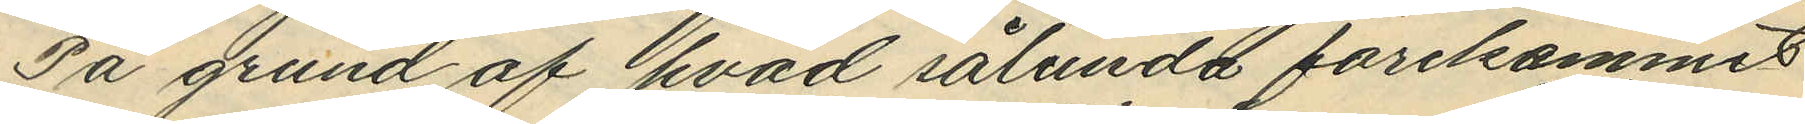På grund af hvad sålunda förekommit
